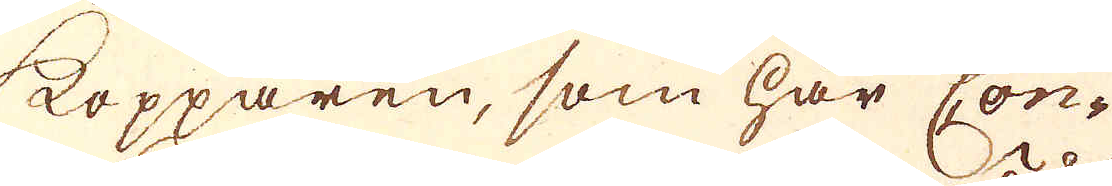Kopparen, som här Con-
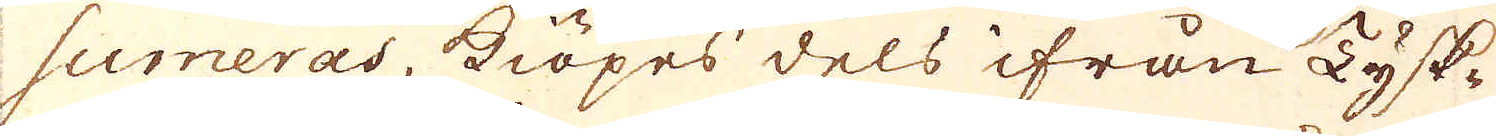sumeras, kiöpes dels ifrån Tysk-
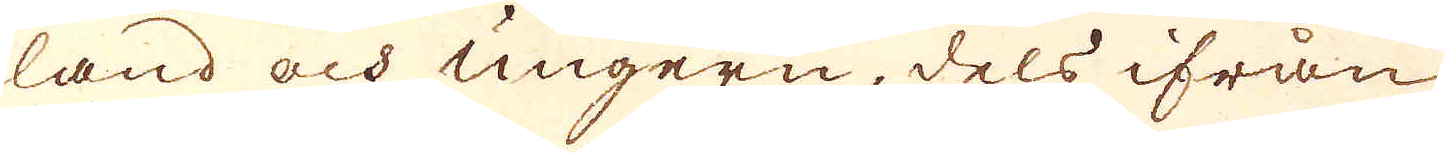land och Ungern, dels ifrån
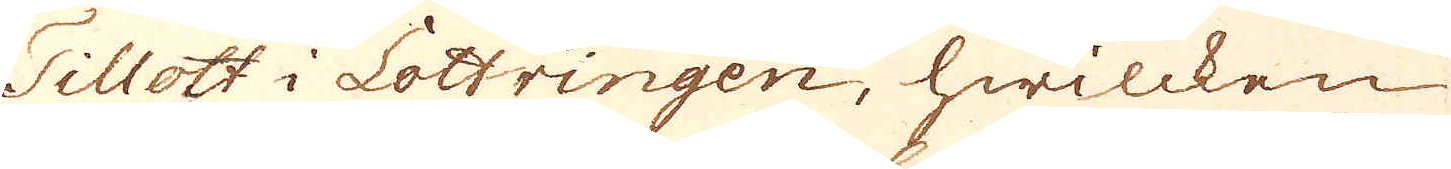Tillott i Lottringen, hwilcken
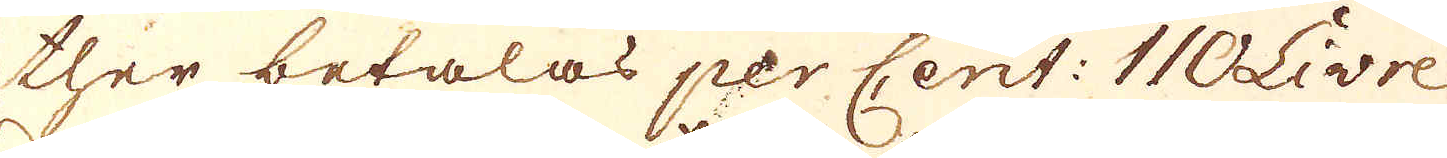ther betalas per Cent: 110 Livre
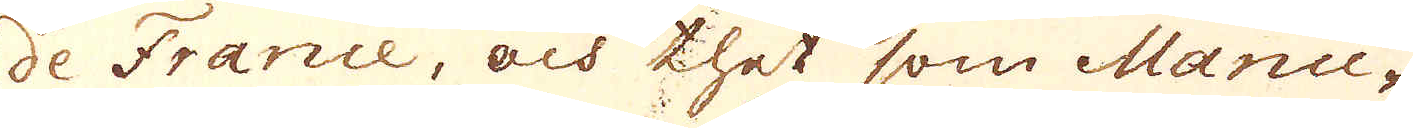de France, och thet som Manu-
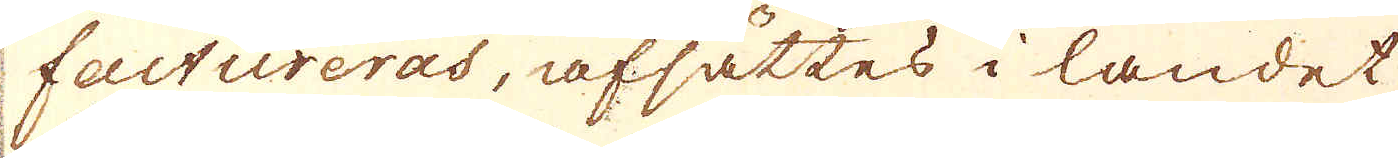factureras, afsättes i landet
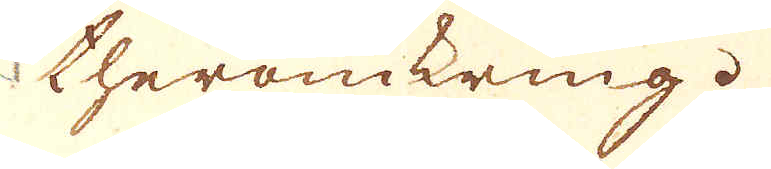theromkring.
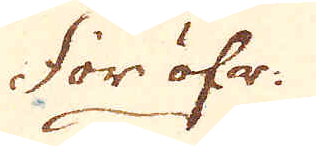För öfr:
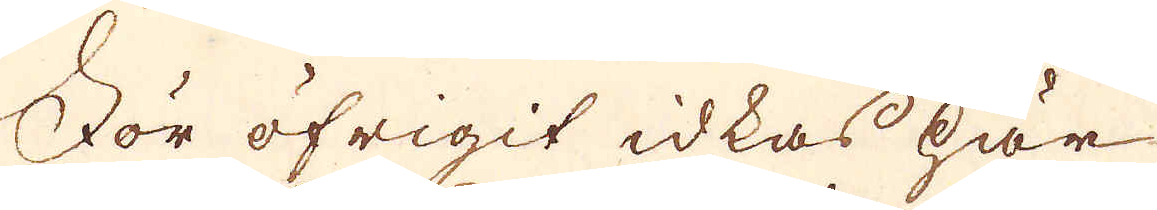För öfrigit idkas här
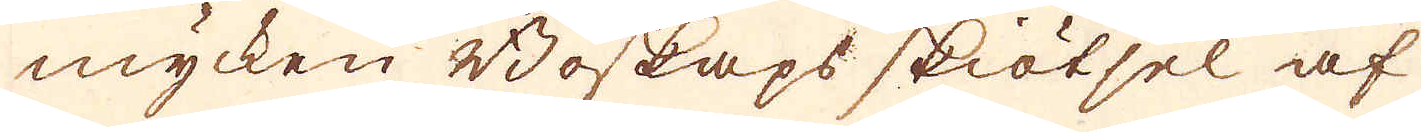mycken Boskaps skiötsel af
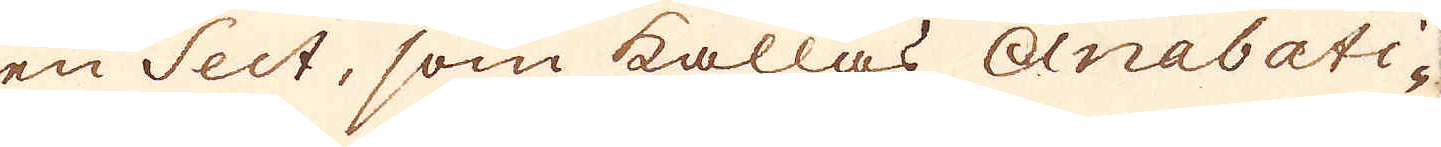en Sect, som kallas Anabati-
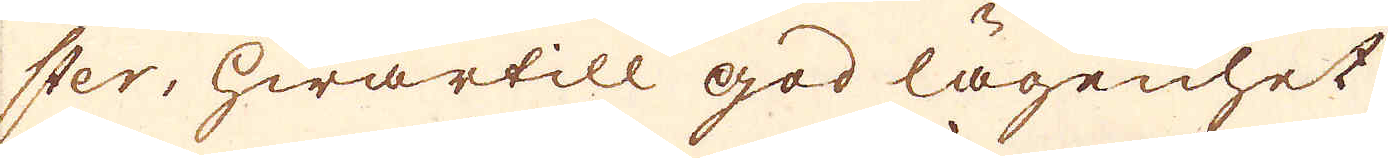ster, hwartill god lägenhet
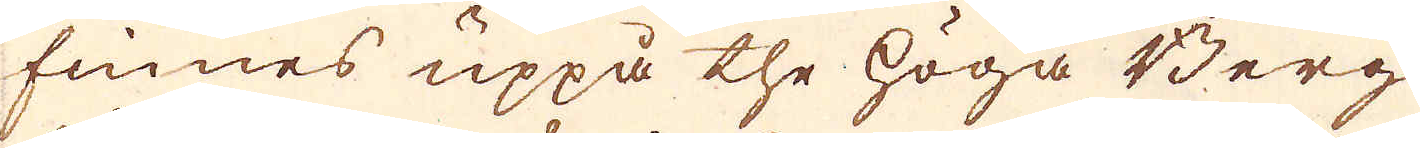finnes uppå the höga Berg
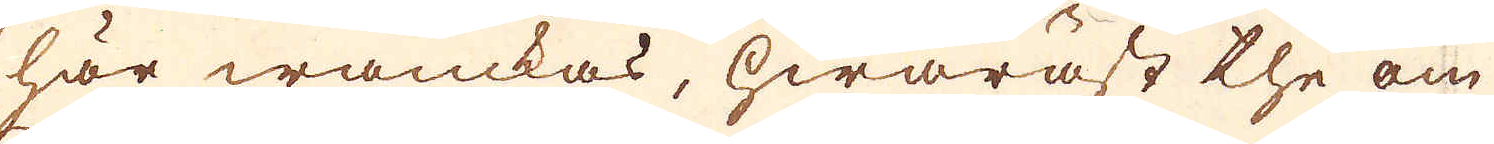här wanckas, hwaräst the om
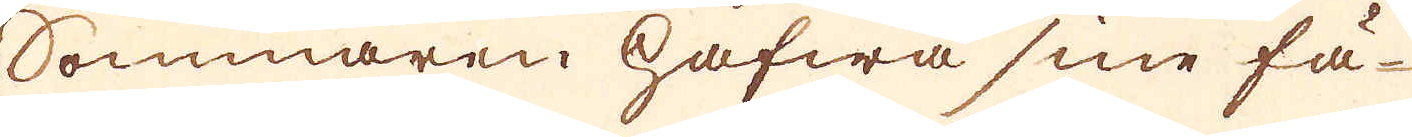Sommaren hafwa sine fä-
